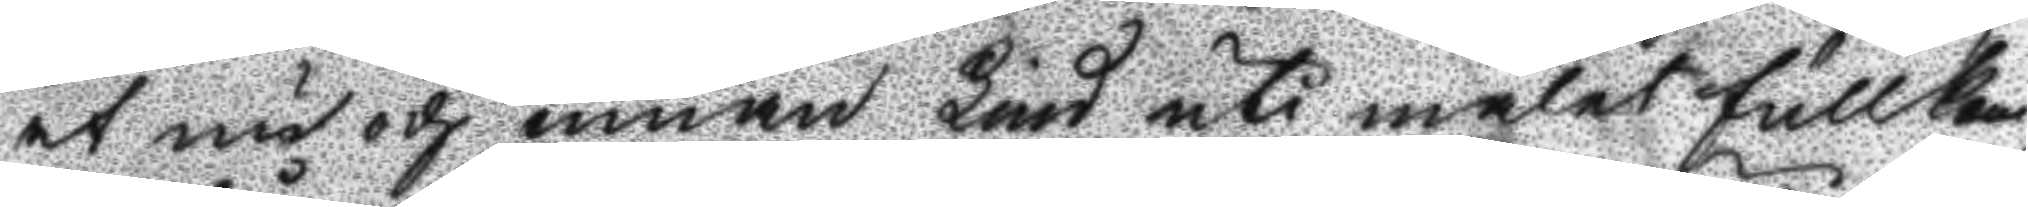at nu och innan Lind uti målet fullkan¬
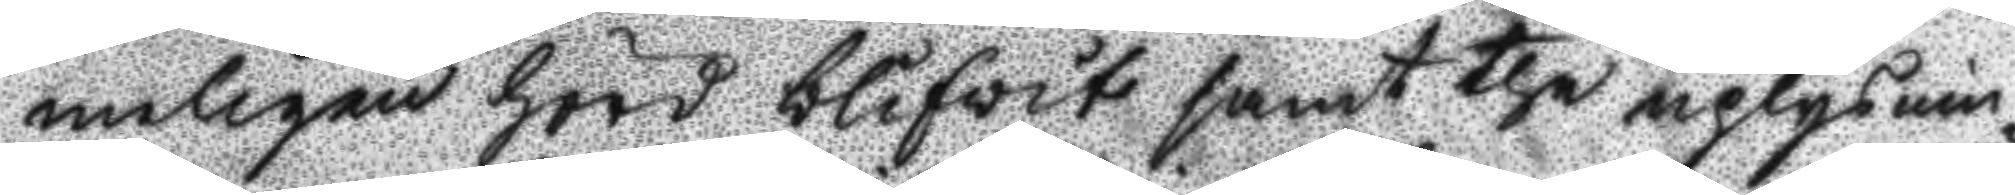neligen hörd blifvit samt the uplysnin¬
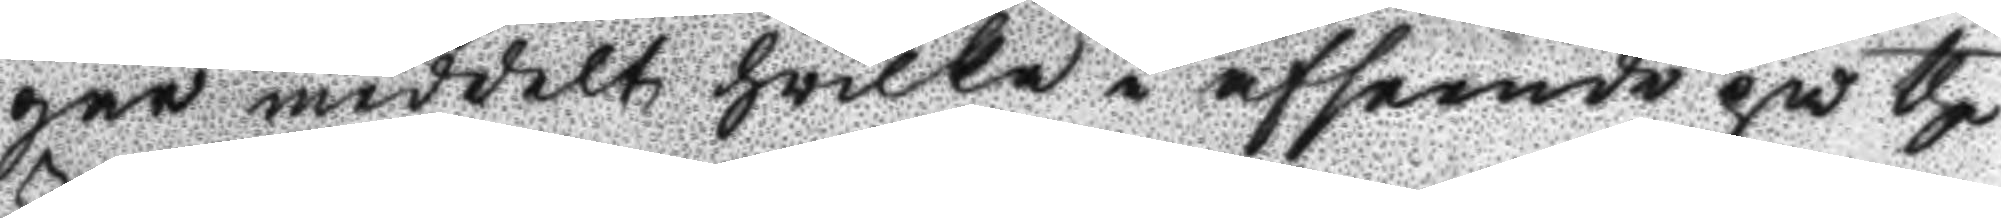gar meddelt hwilka i afseende på the
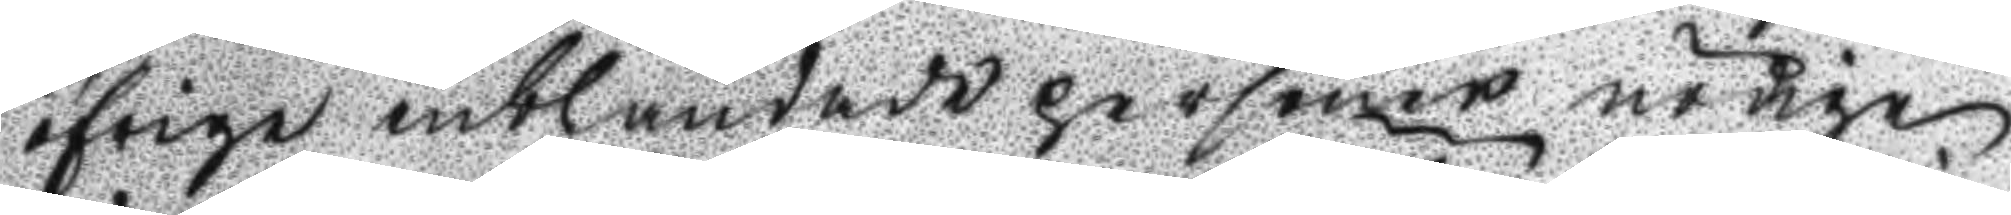öfrige inblandade personer nödige
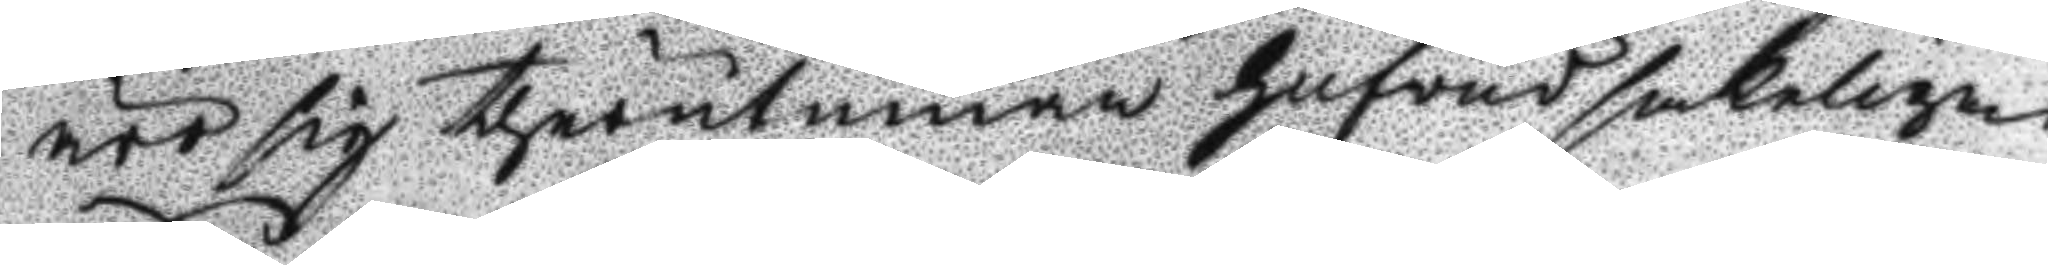rör sig therutinnan hufvudsakeligen
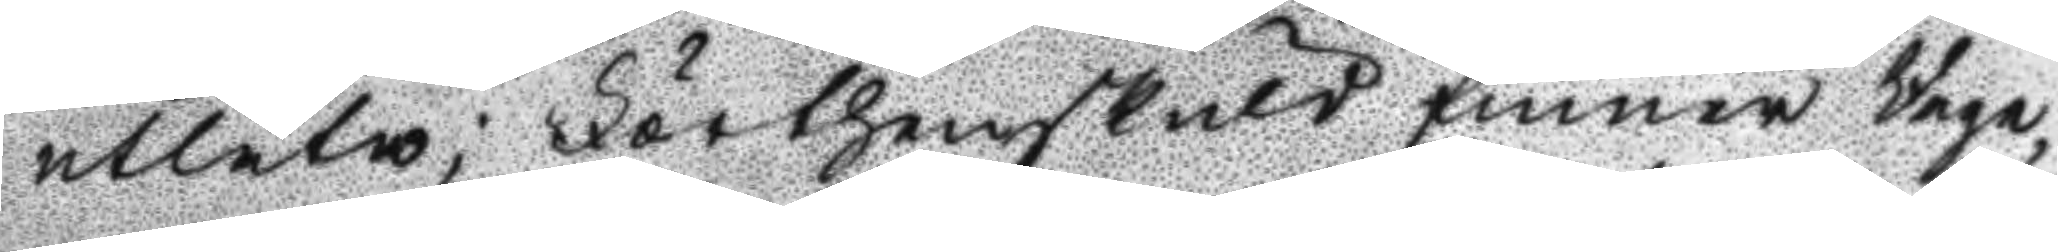utlåtne; Förthenskuld finner Rege¬
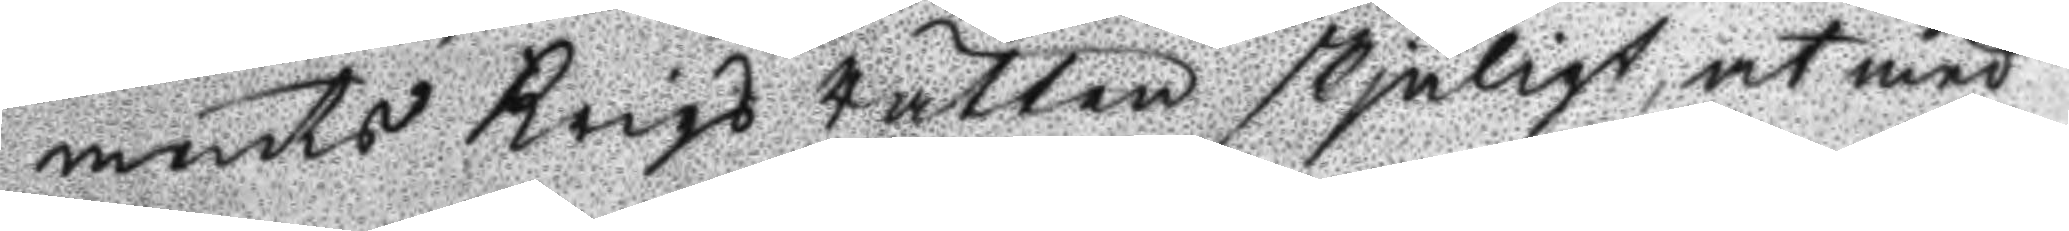ments Krigs Rätten skjäligt, at med
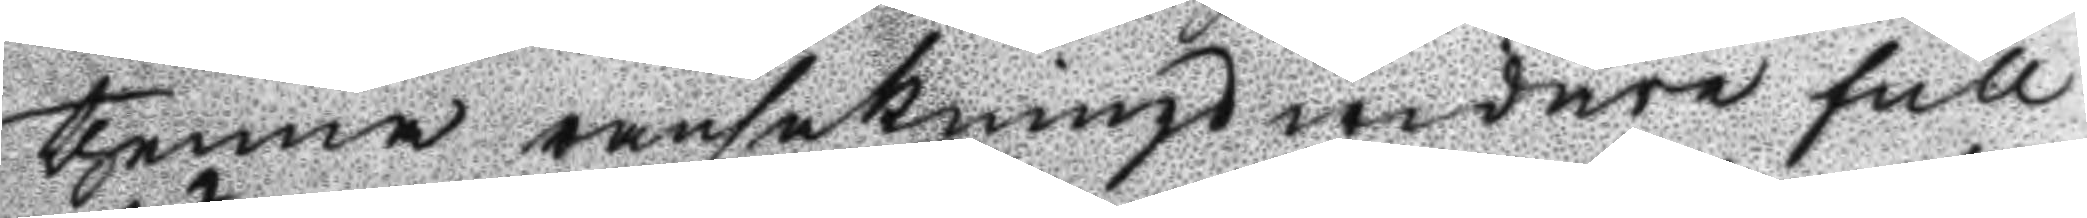thenna ransaknings widare full
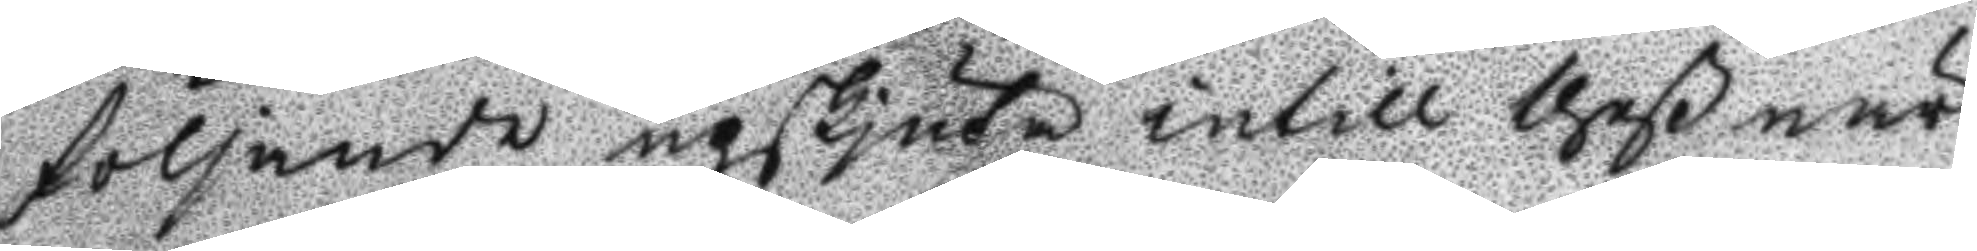följande upskjuta intill theß när
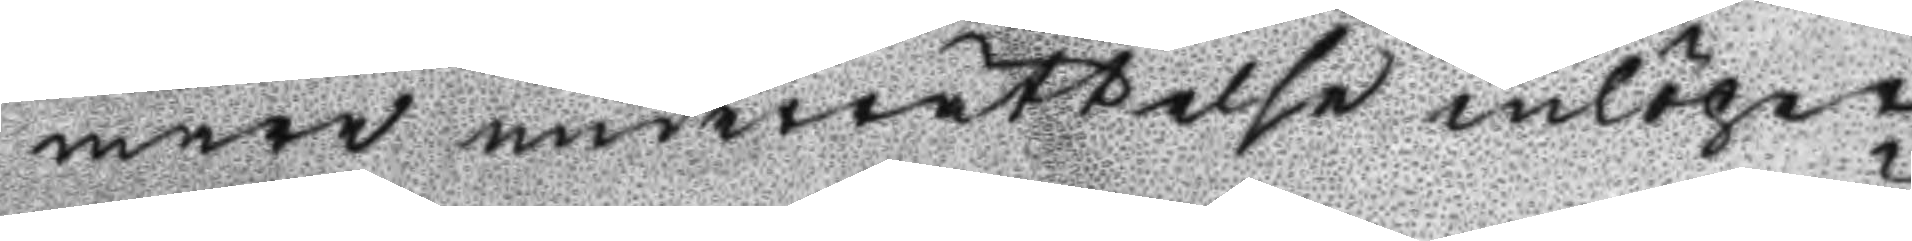mare underrättelse inlöper
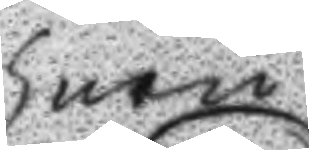huru
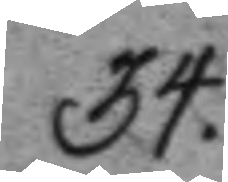34.
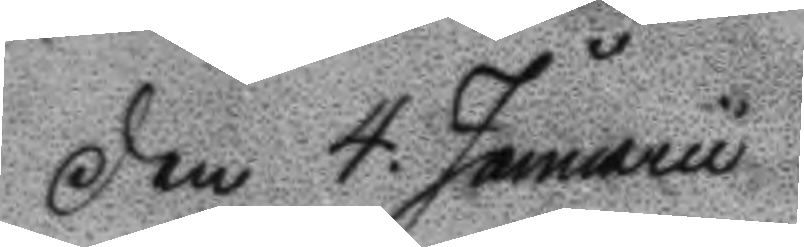Den 4. Januarii
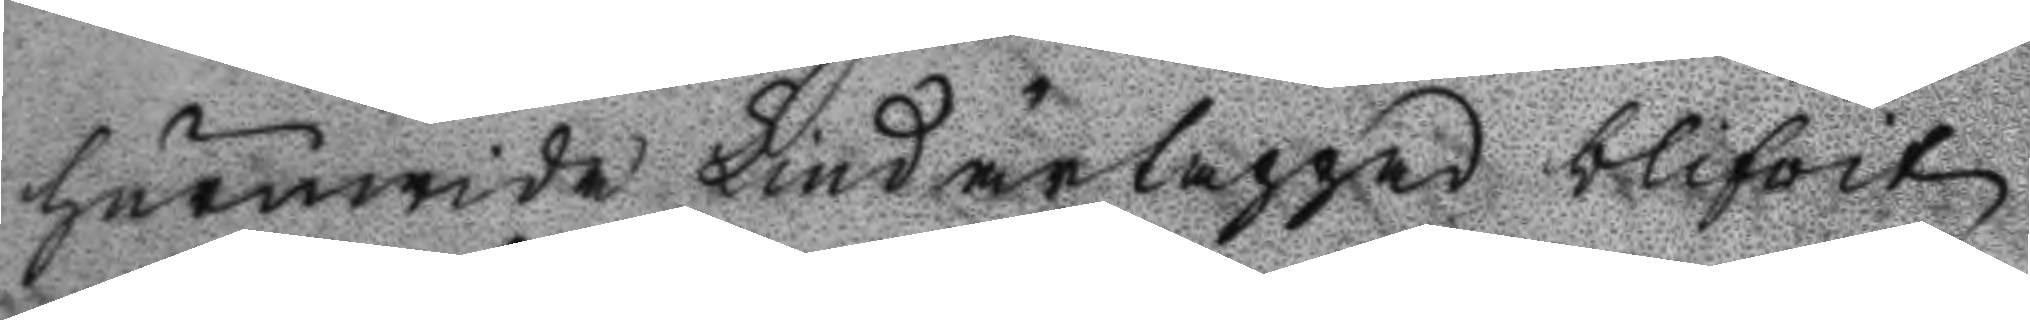huruwida Lind ärtappad blifvit
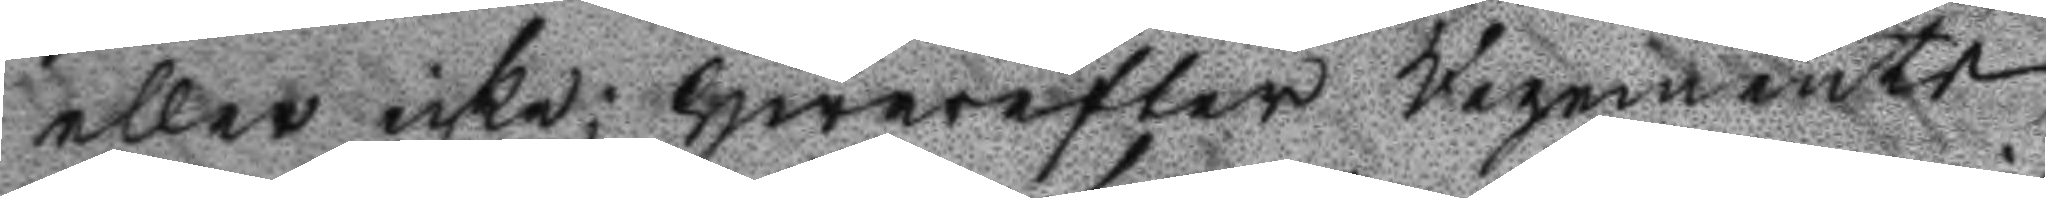eller icke; Hwarefter Regements
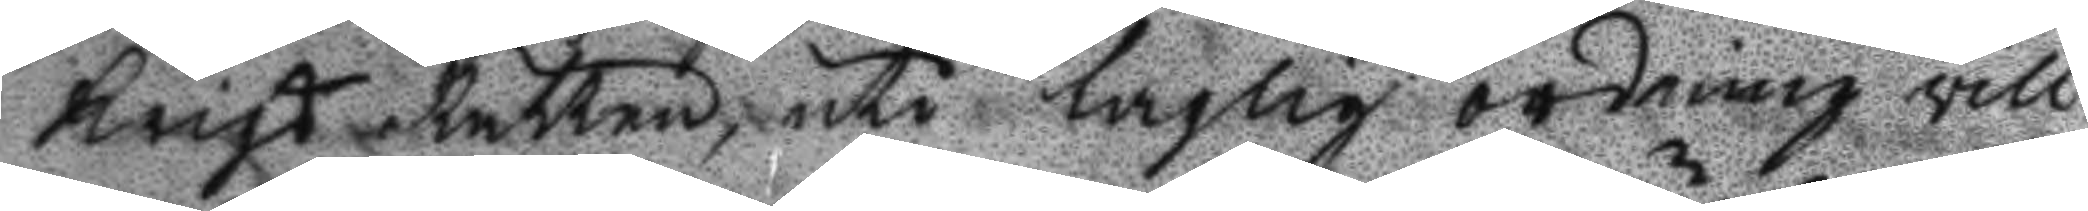Krigs Rätten, uti laglig ordning vill
